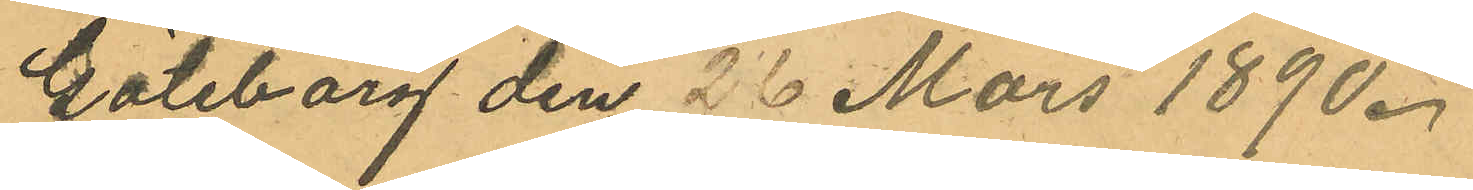Göteborg den 26 Mars 1890.
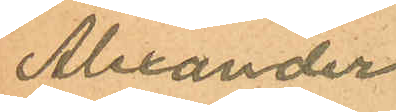Alexander
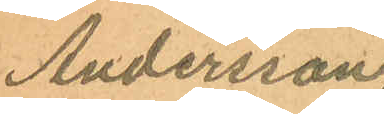Andersson
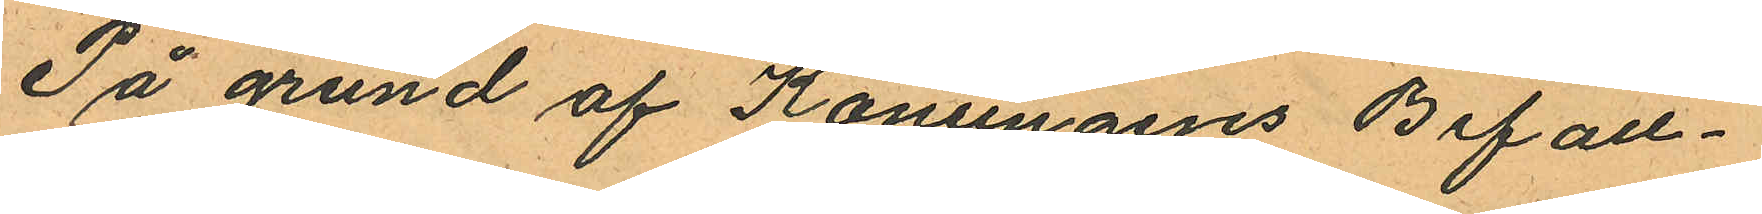På grund af Konungens Befall¬
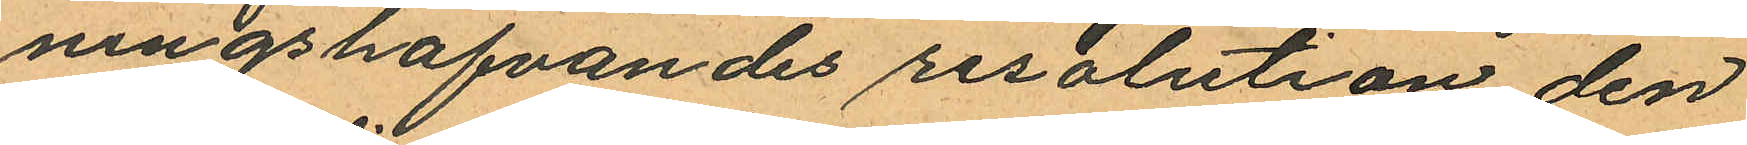ningshafvandes resolution den
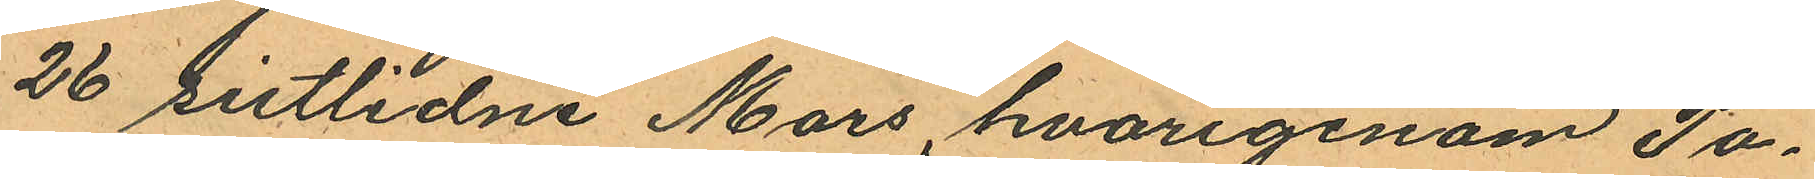26 sistlidne Mars, hvarigenom Po¬
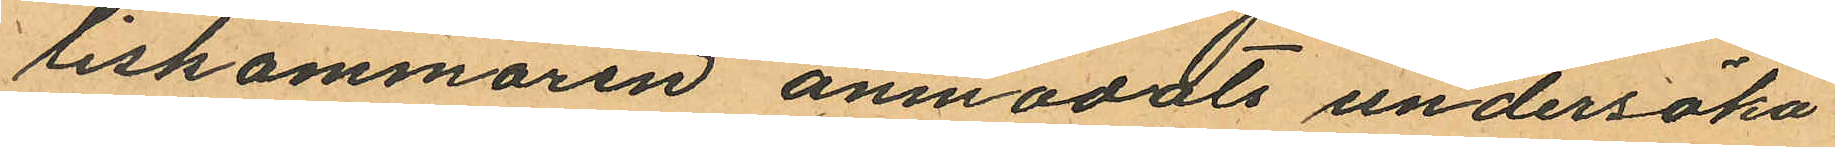liskammaren anmodats undersöka
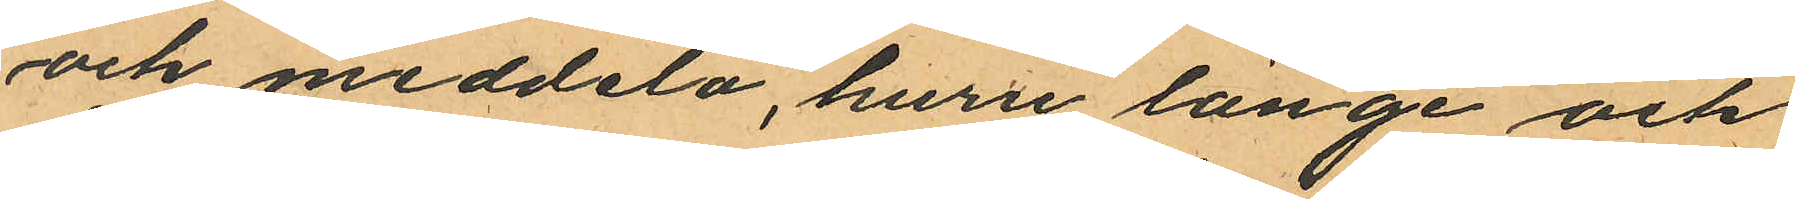och meddela, huru länge och
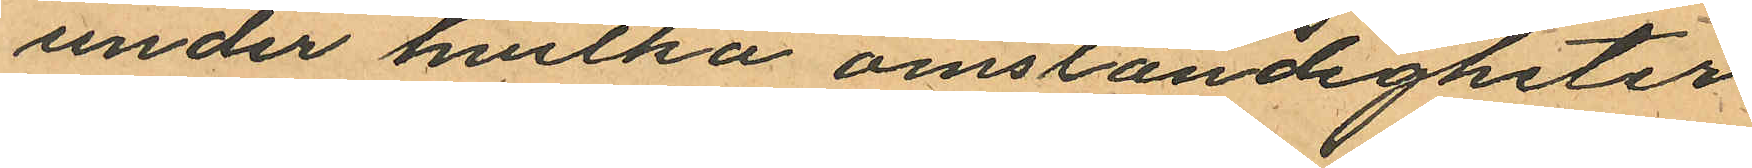under hvilka omständigheter
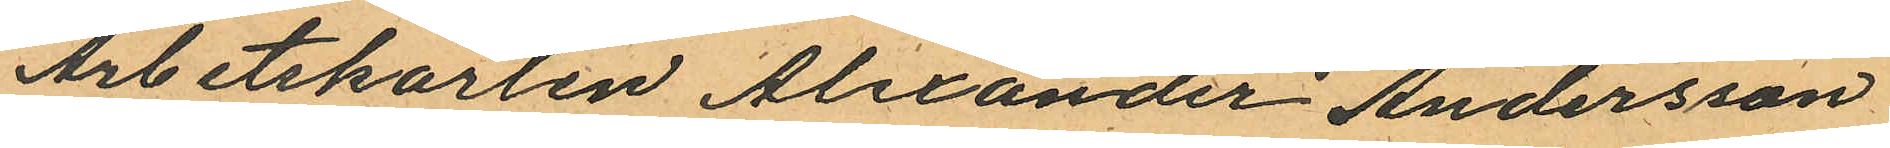Arbetskarlen Alexander Andersson
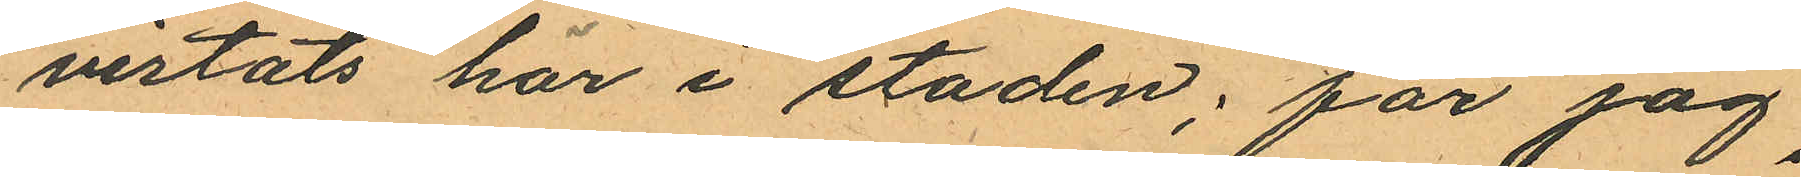vistats här i staden; får jag
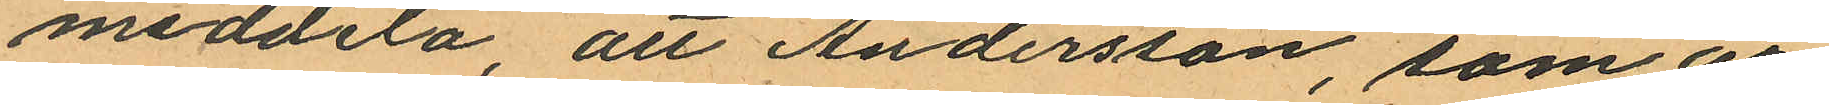meddela, att Andersson, som är
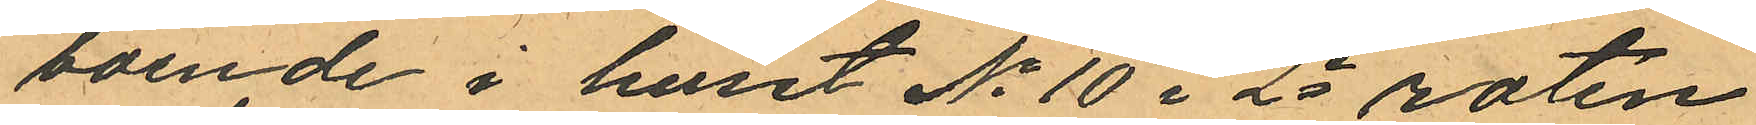boende i huset No 10 i 2e roten
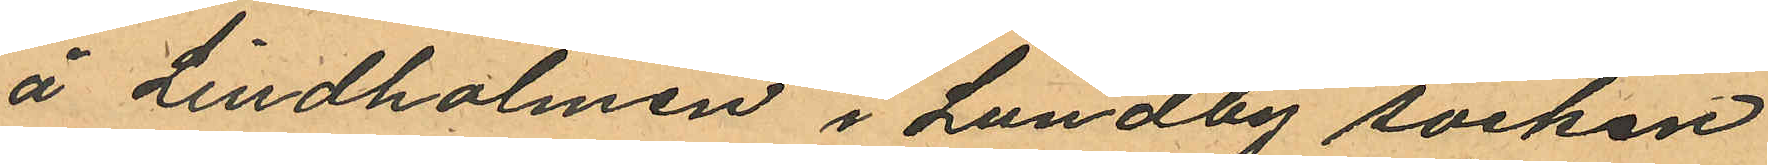å Lindholmen i Lundby socken
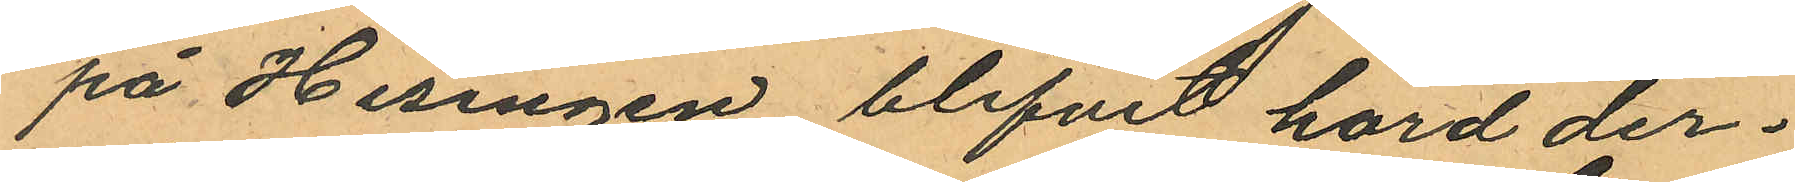på Hisingen blifvit hörd der¬
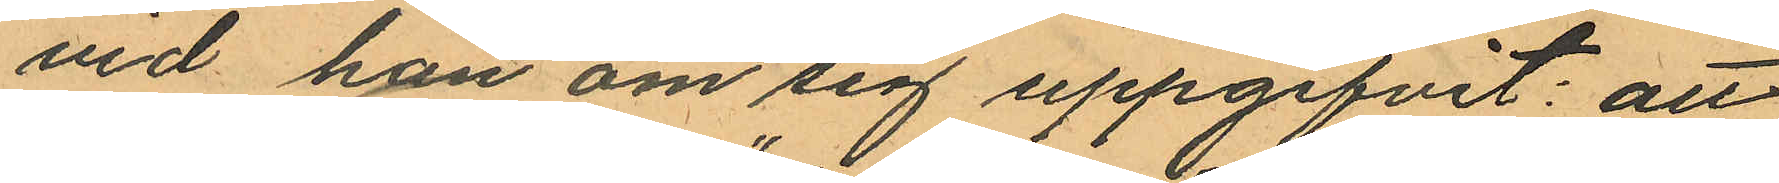vid han om sig uppgifvit: att
